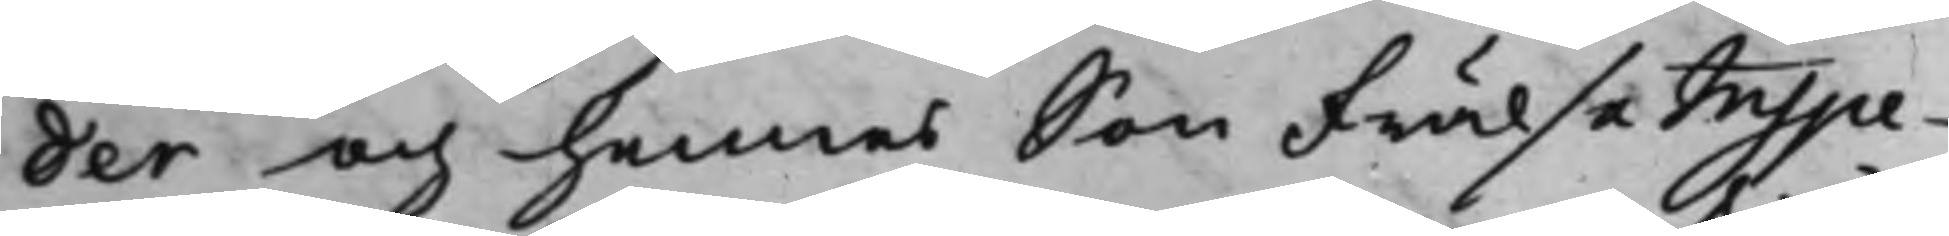der och hennes Son Frälse Inspe¬
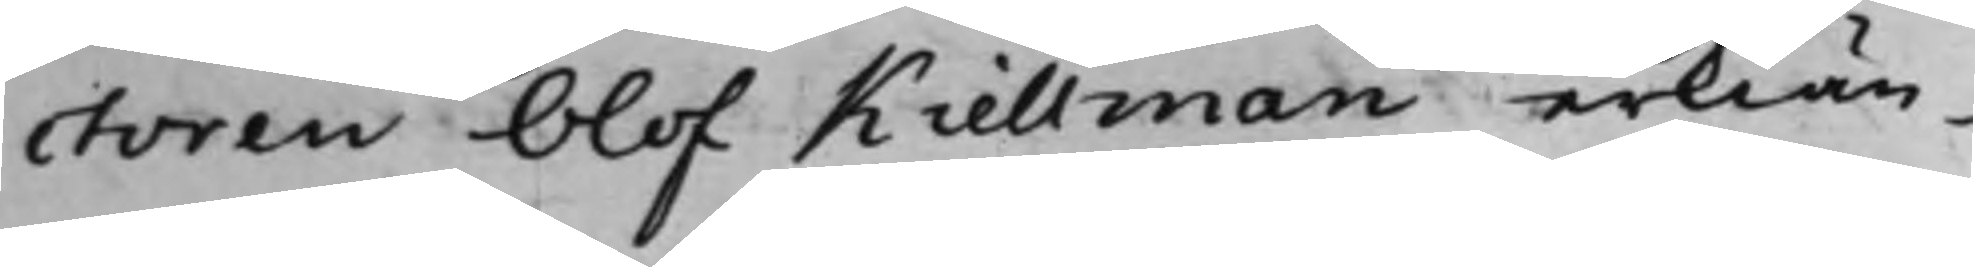ctoren Olof Kiellman erkiän¬
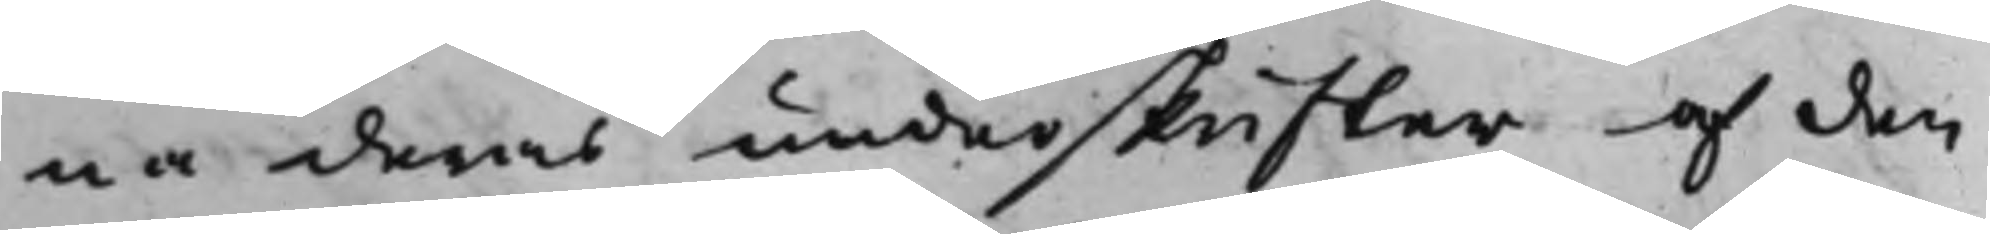na deras underskrifter af den
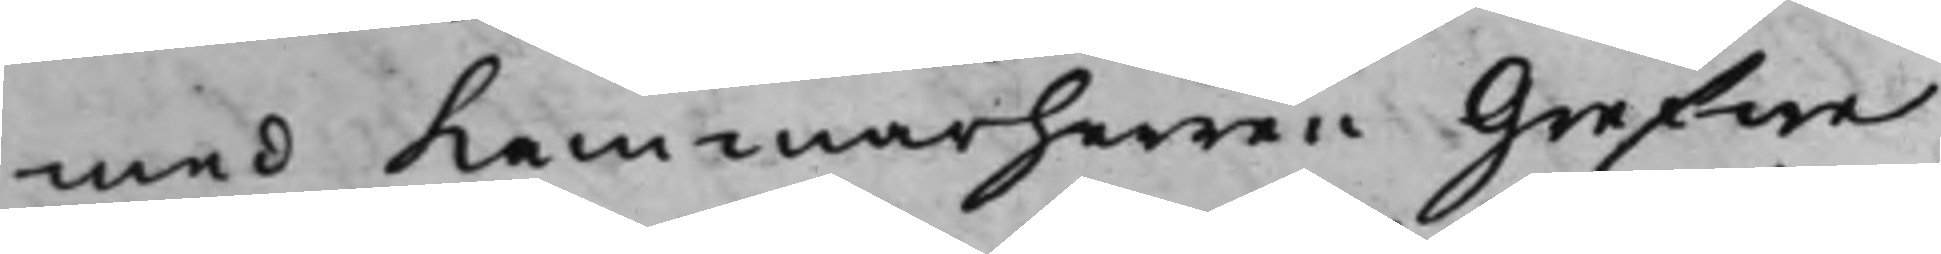med Kammarherren Grefwe
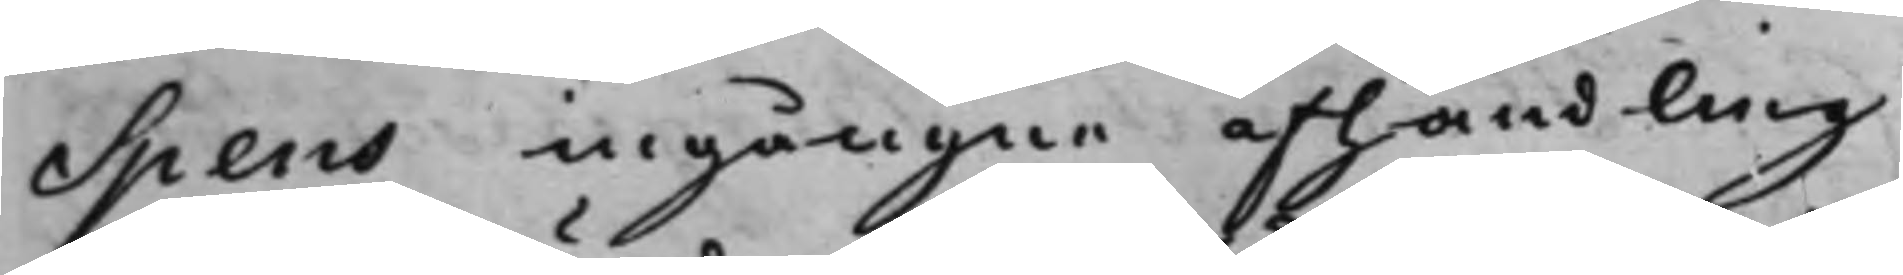Spens ingångne afhandling
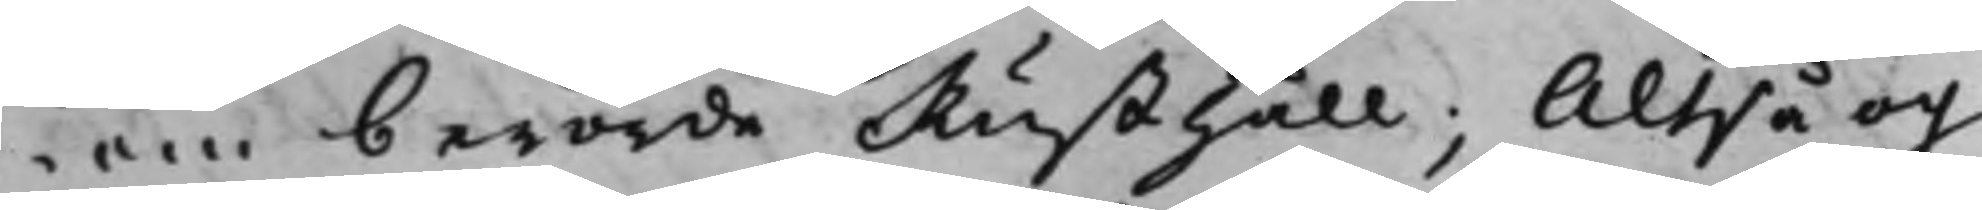om berörde Rusthåll; Altså och
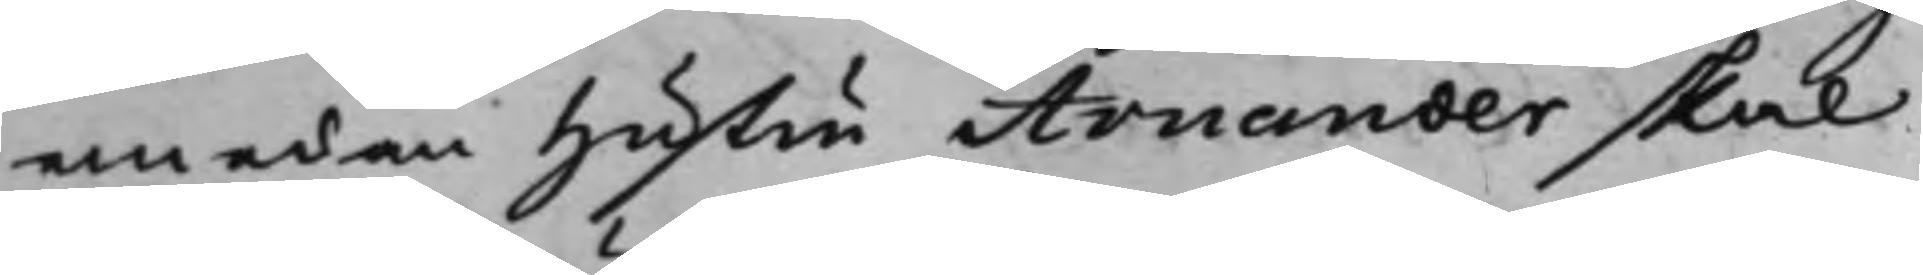emedan Hustru Arnander skal
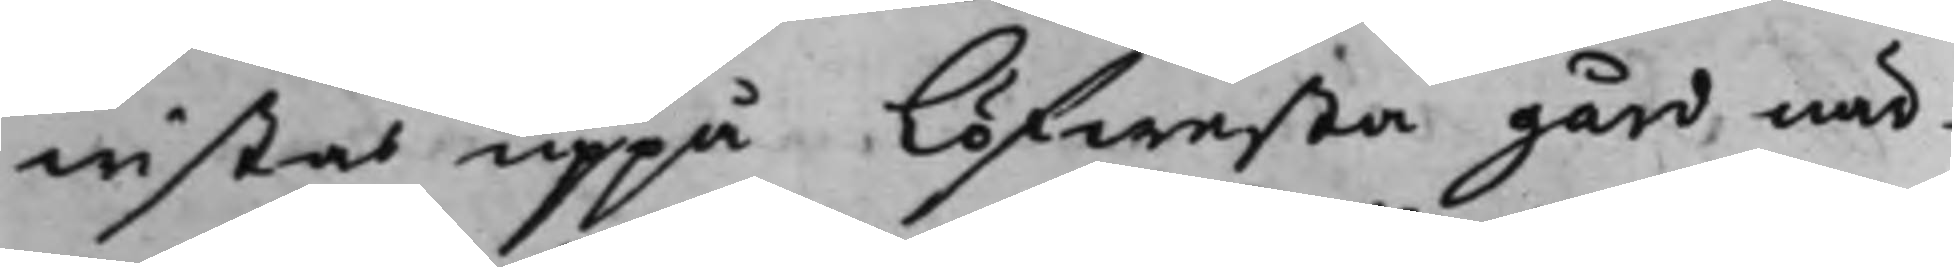wistas uppå Löfwesta gård när¬
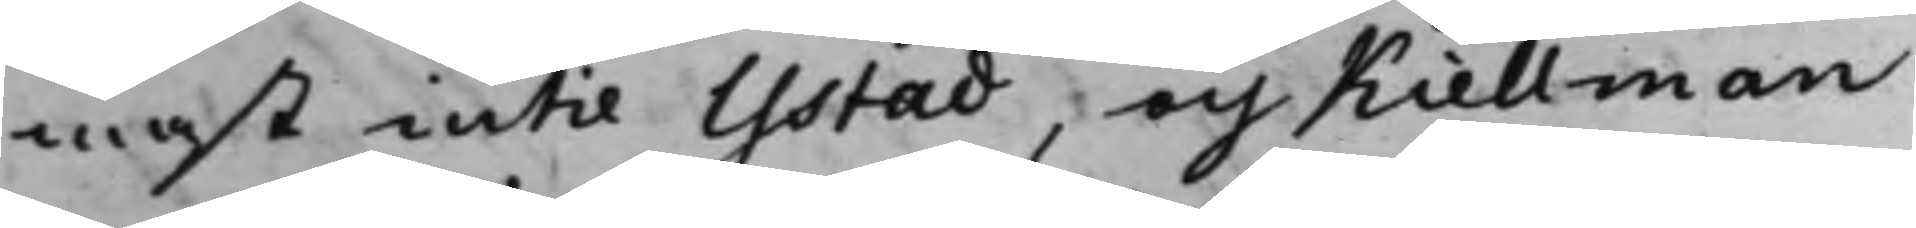mast intil Ystad, och Kiellman
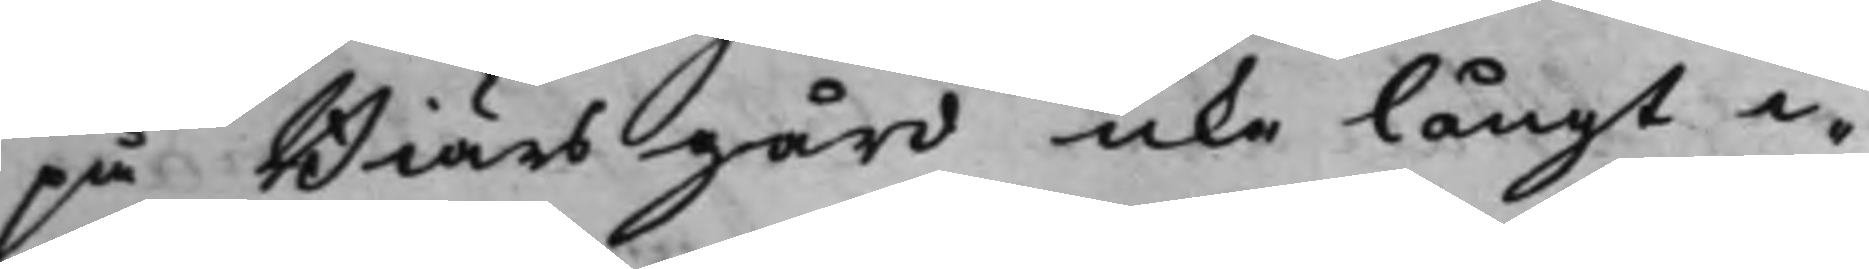på Biärs gård icke långt i¬
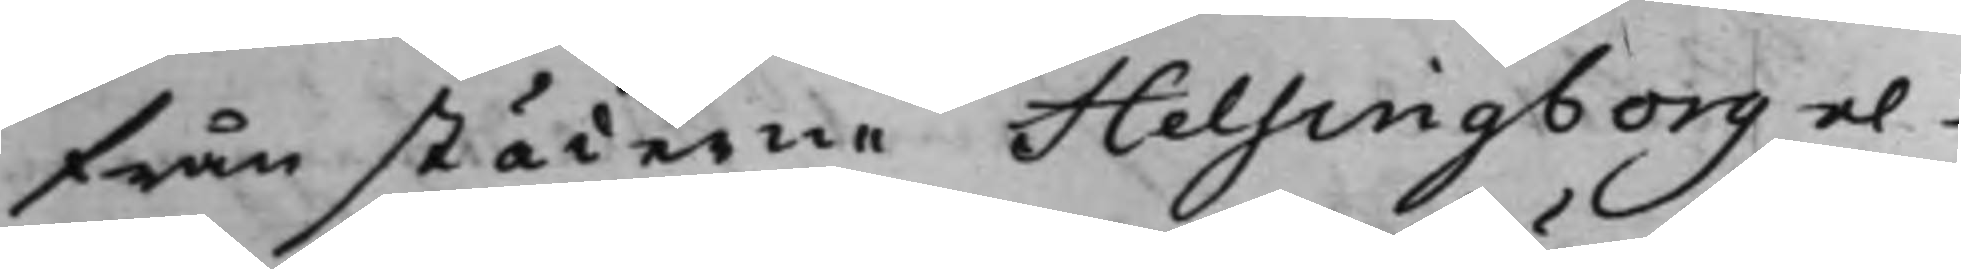från städerne Helsingborg el¬
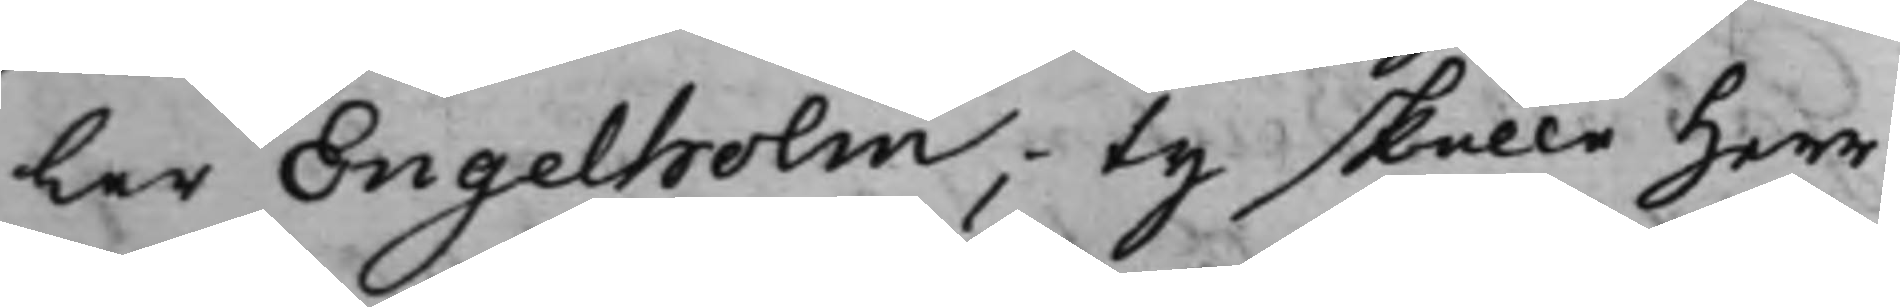ler Engelholm; ty skulle Herr
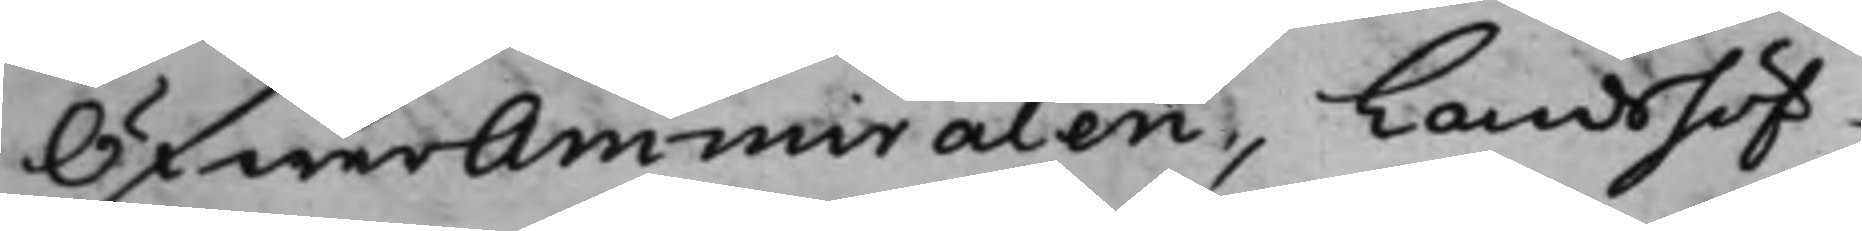ÖfwerAmmiralen, Landshöf¬
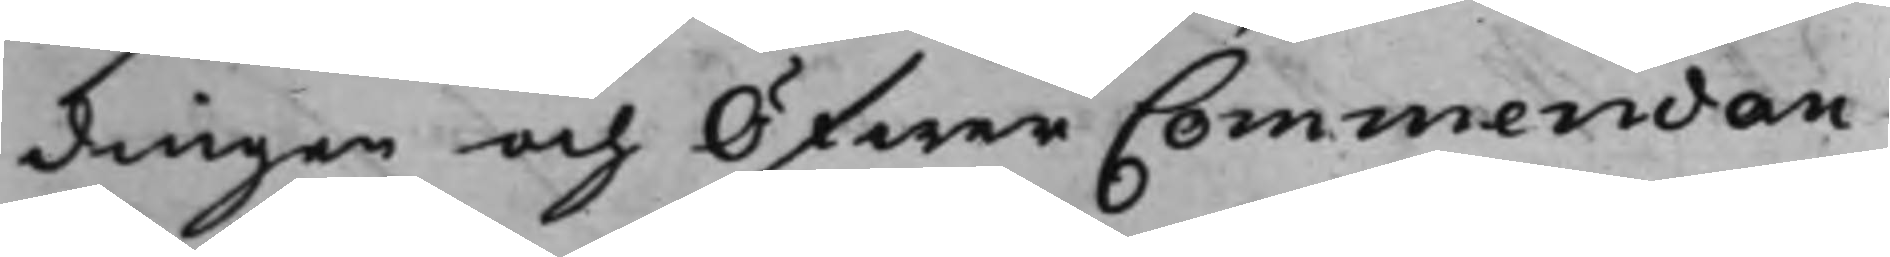dingen och Öfwer Commendan¬
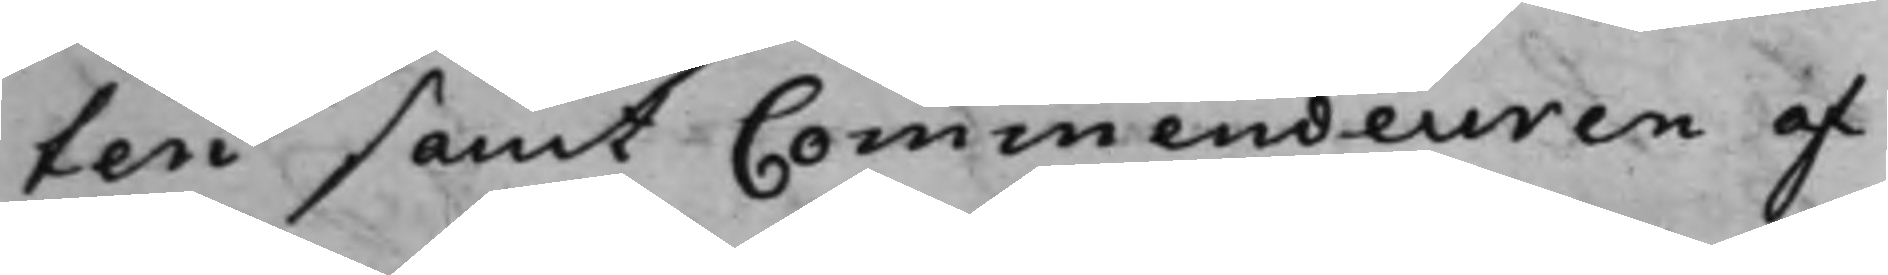ten samt Commendeuren af
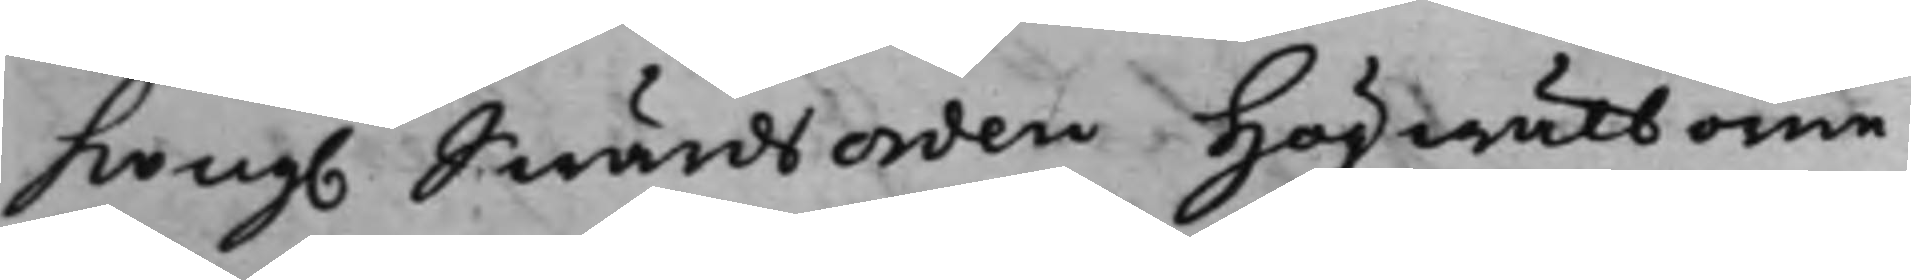Kong. Swärdsorden Högwälborne
